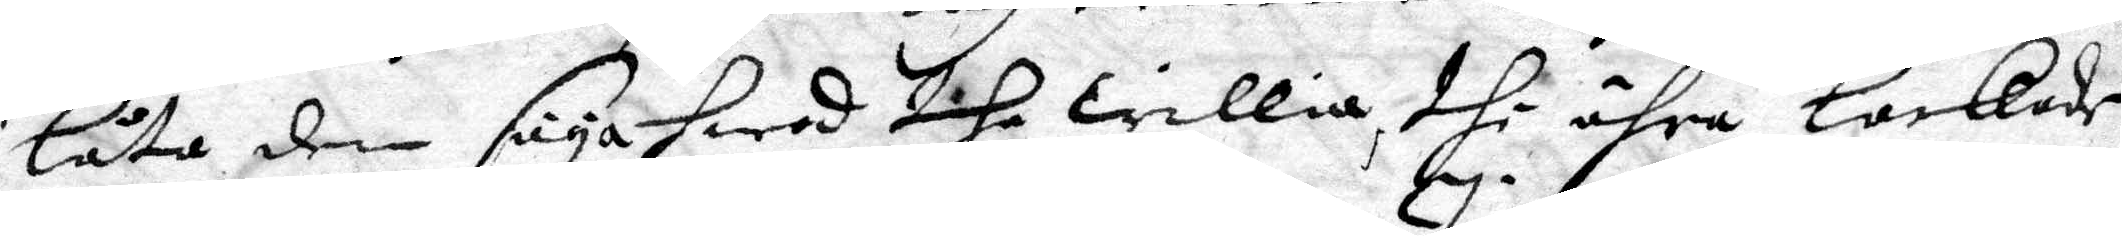låta den säya hwad the willia, thi ähra lockade
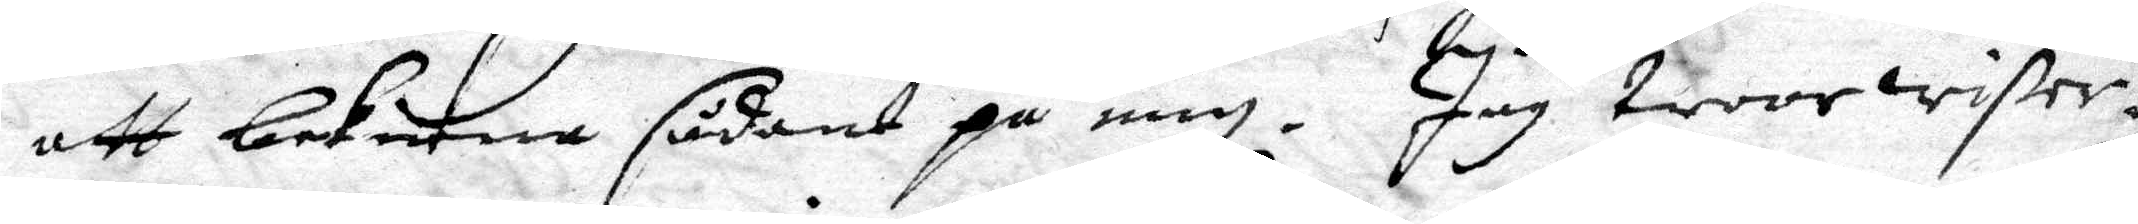att bekenna sådant på mig. Jag troor wißer¬
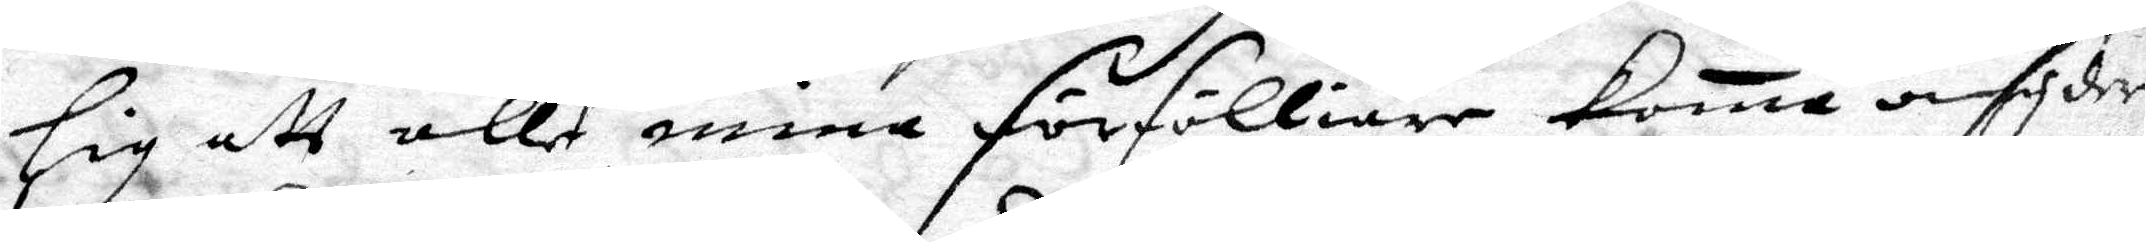lig att alle mina förfölliare koma omsyder
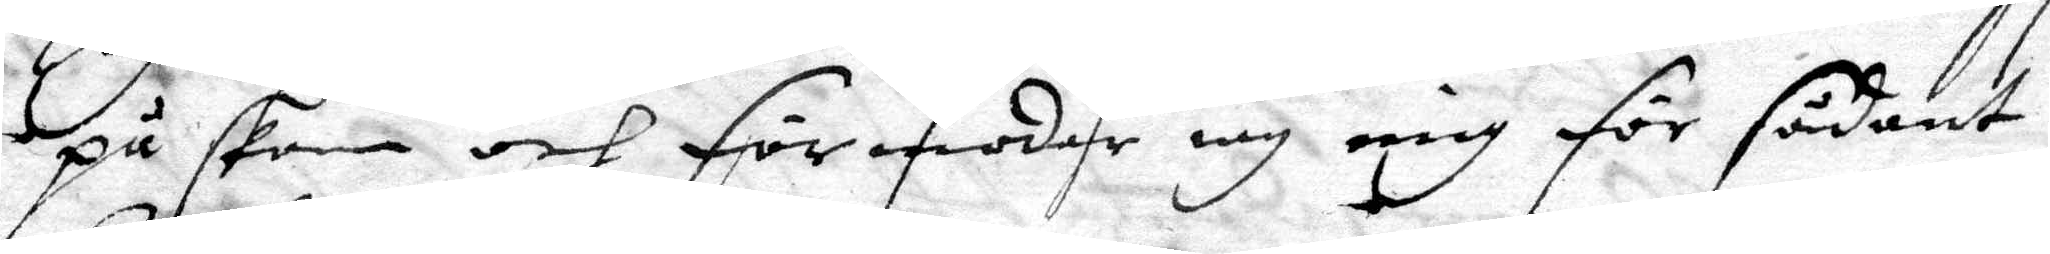på skam och förmoder iag mig för sådant
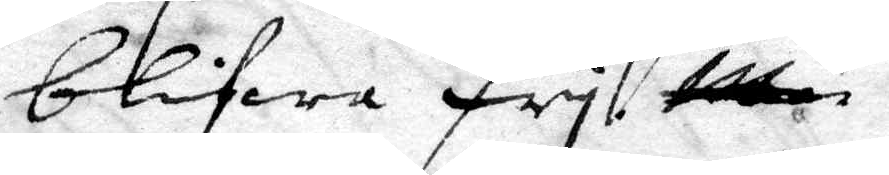blifwa fry. ttn
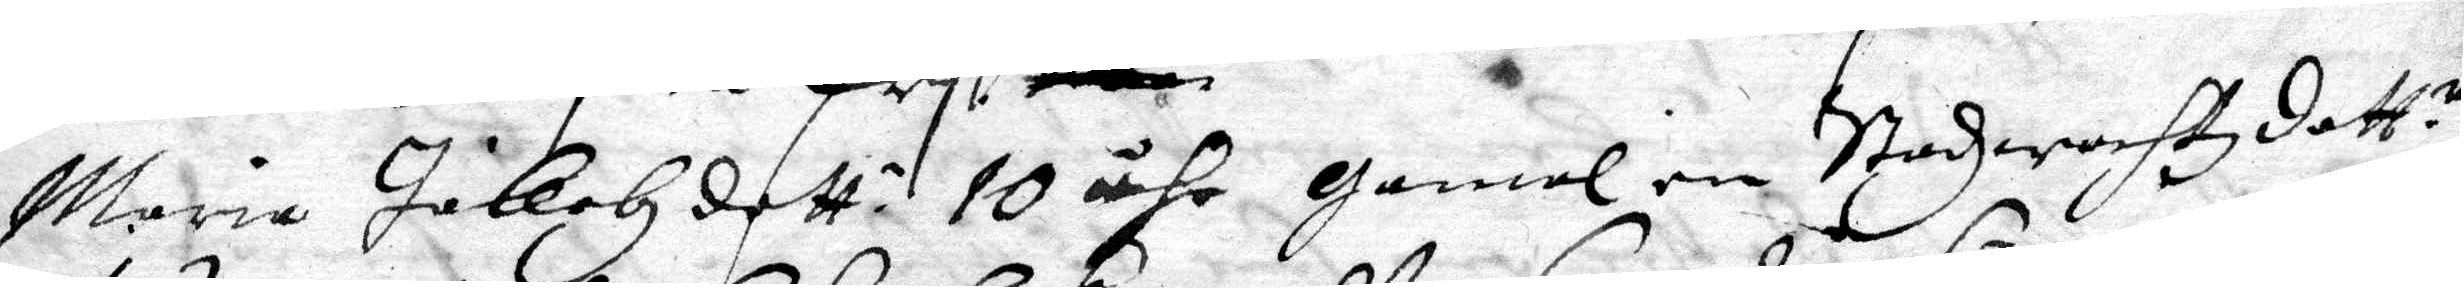Maria Jakobz dott. 10 åhr gamal en Stadzwachtzdott.r
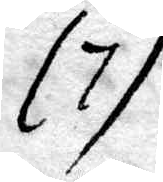(7)
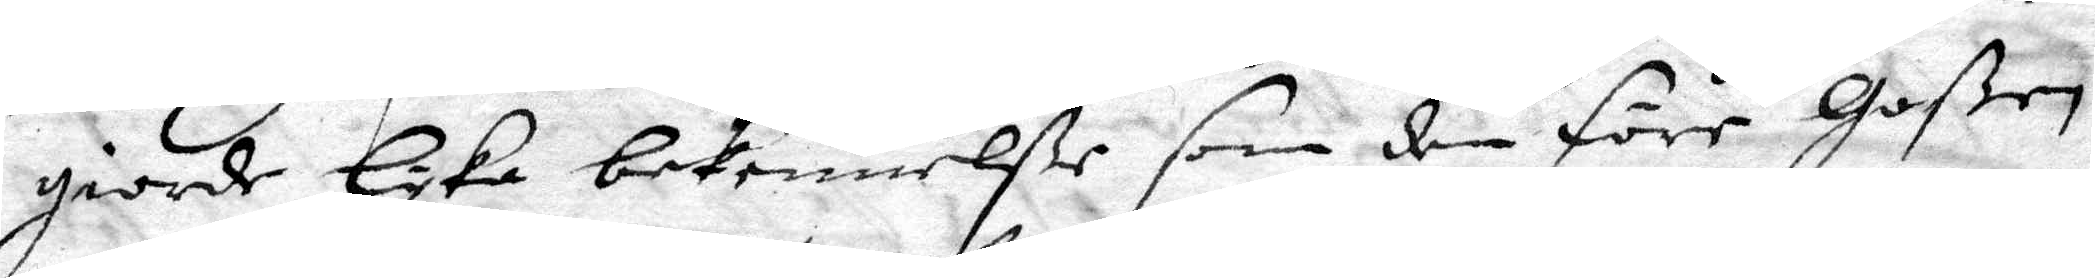giorde lyka bekennelße som den före Goßen
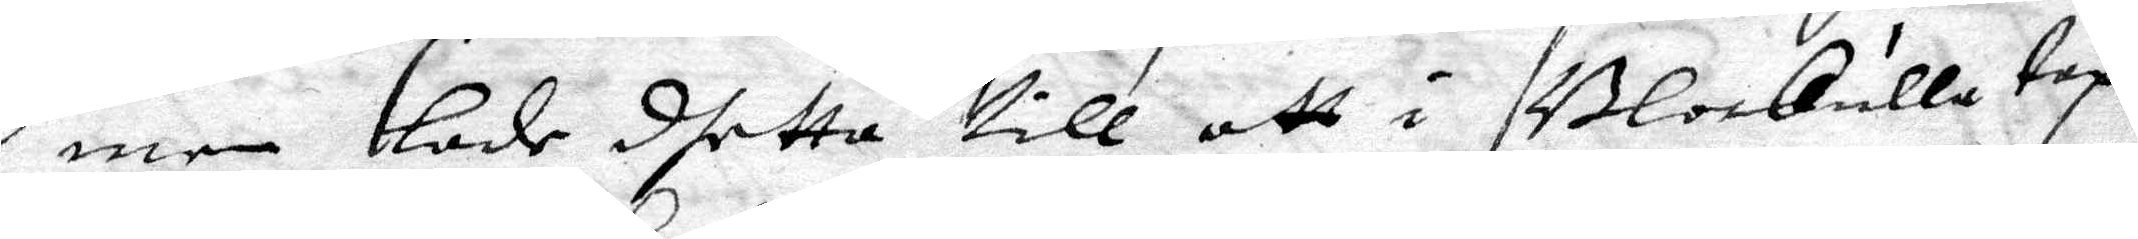men lade dhetta till att i Blokulla tap¬
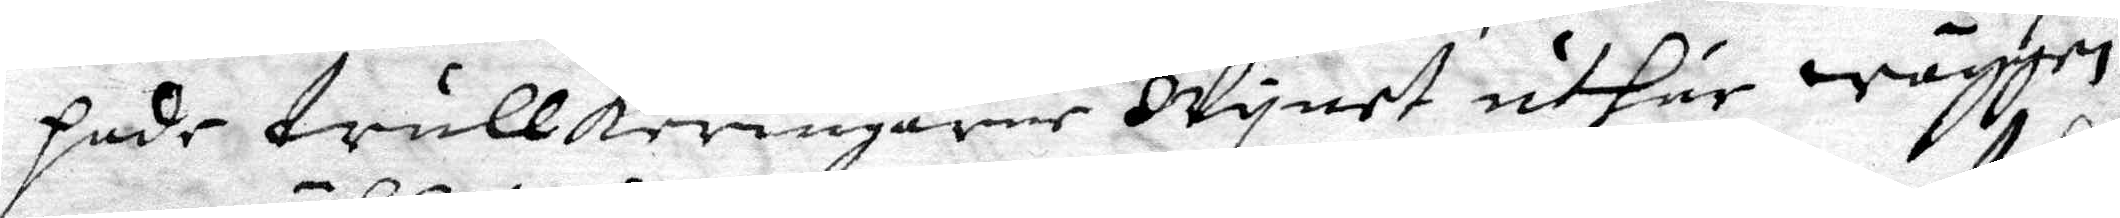pade trullkeringarne Wynet uthur wäggen
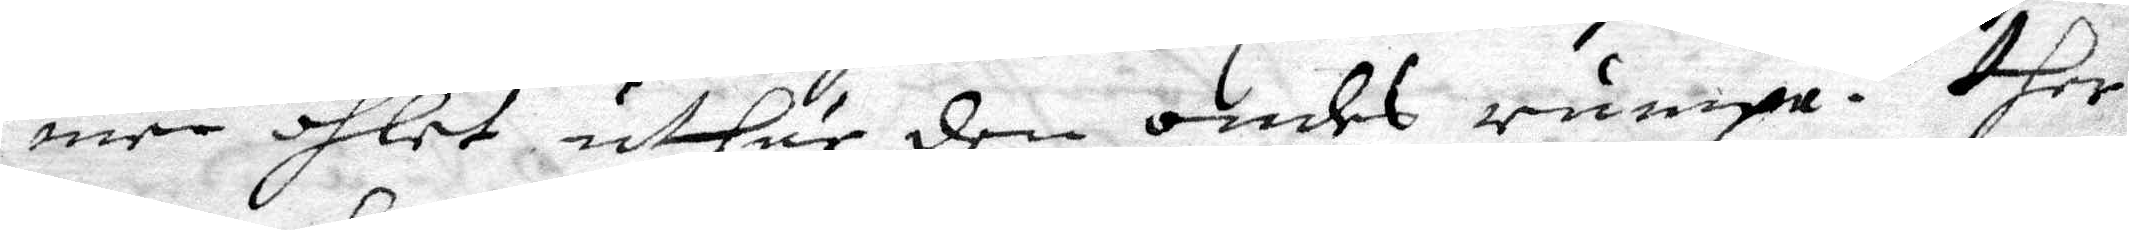men öhlet uthur den ondes rumpa. ther
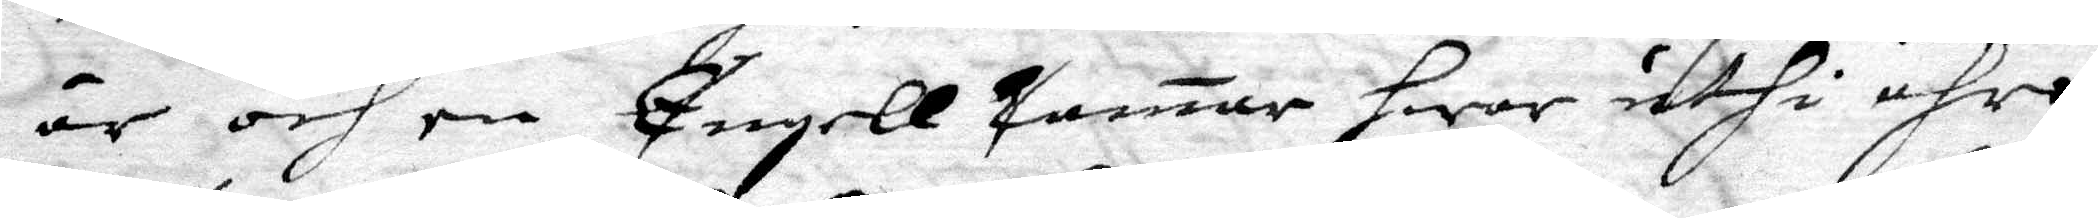är och en Engell Camar hwar uthi ähro
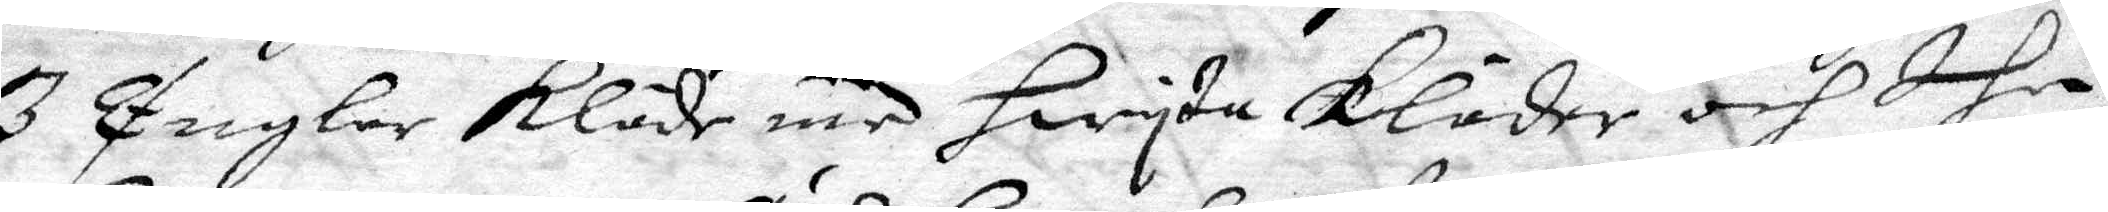3 Englar kläde med hwita Kläder och dhe
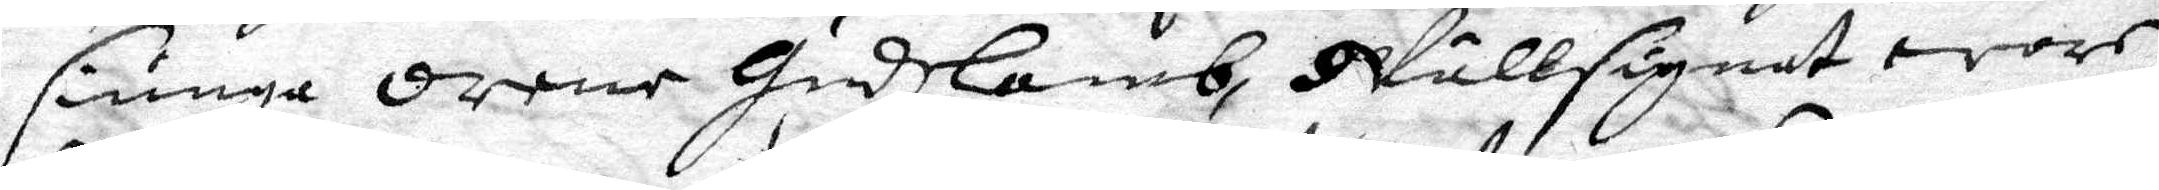siunga orene Gudslamb, Wällsignat wore
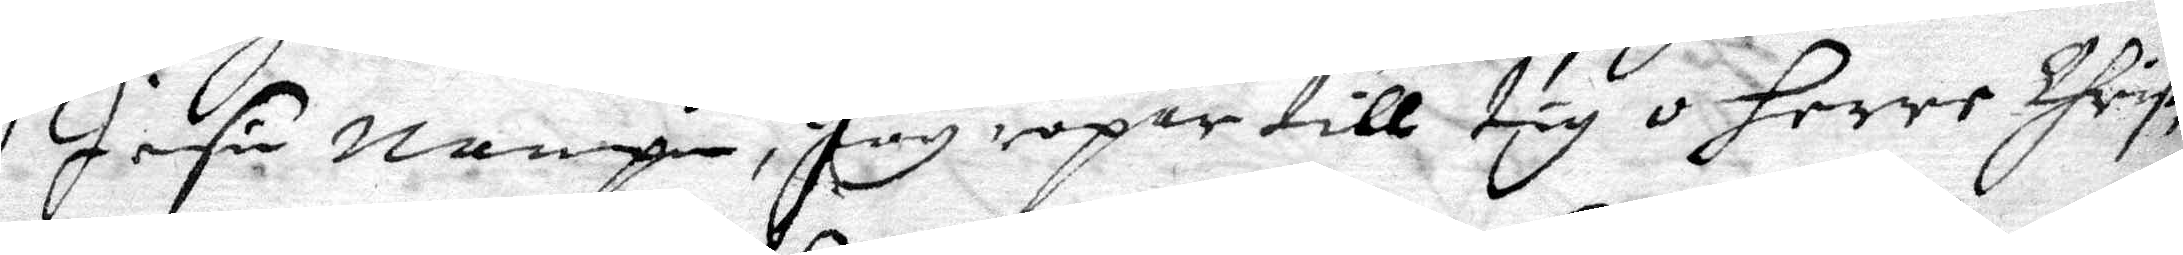Jesu nampn, Jag ropar till tig o herre Christ,
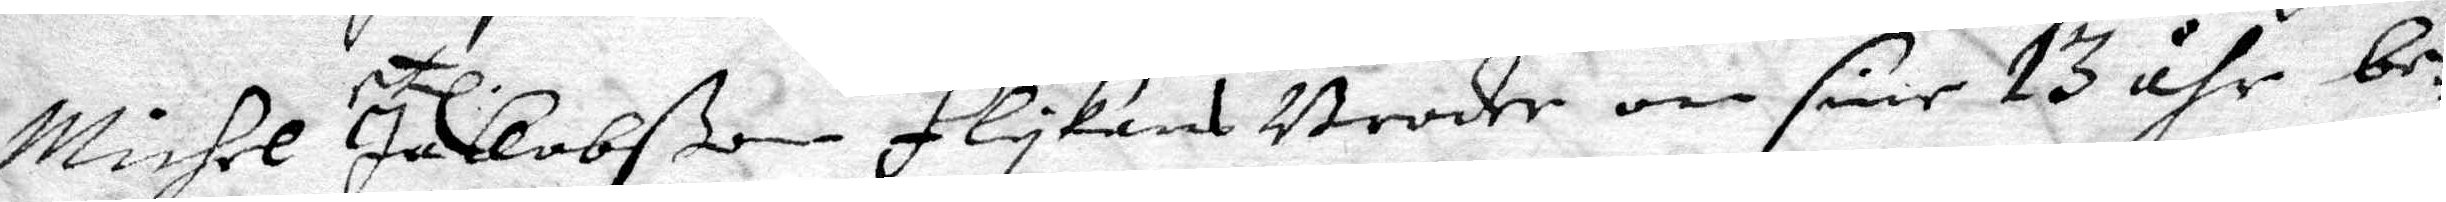Michel Jakobßon flykans Broder om sine 13 åhr be¬
